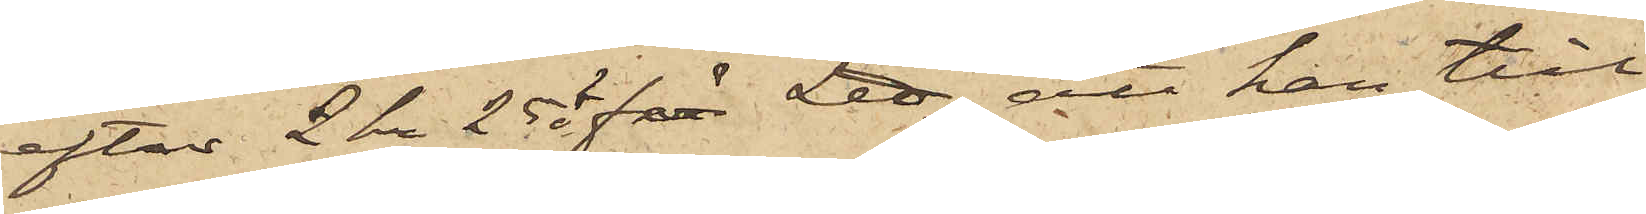efter 2 kr 25 ö för L℔; att han till
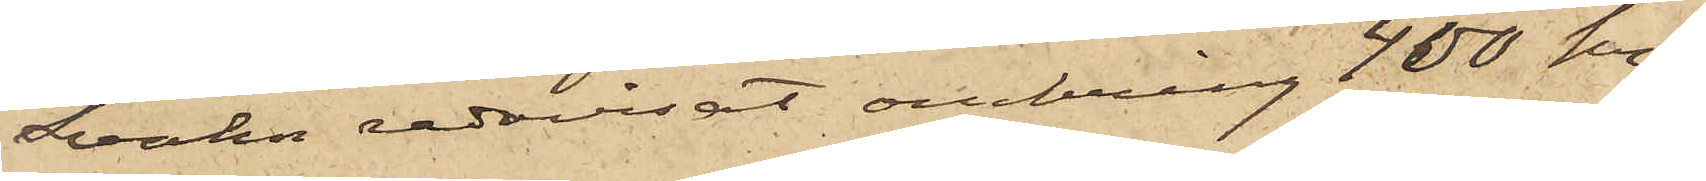Svahn redovisat omkring 400 kr,
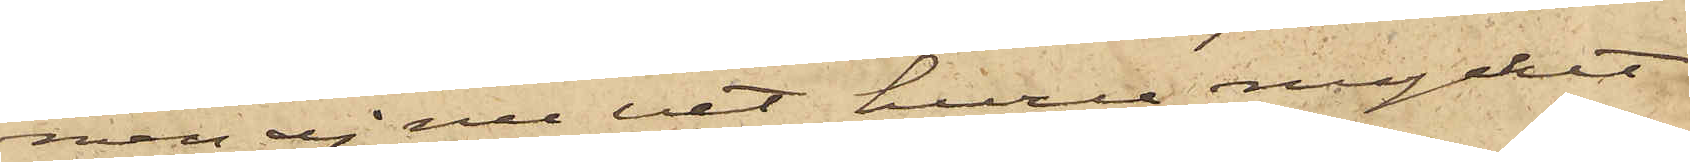men ej nu vet huru mycket
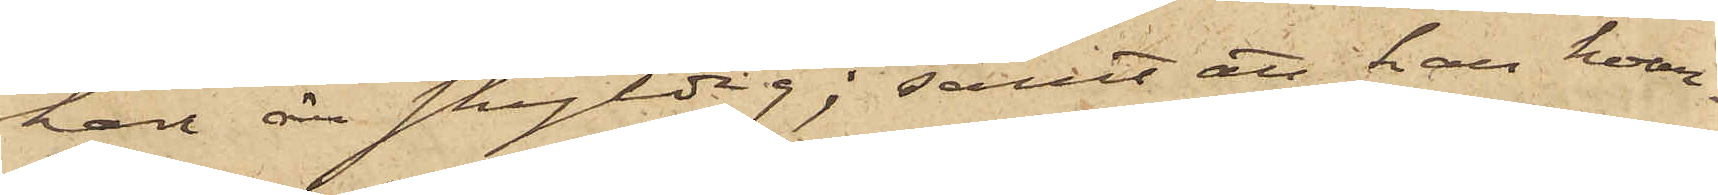han är skyldig; samt att han hvar¬
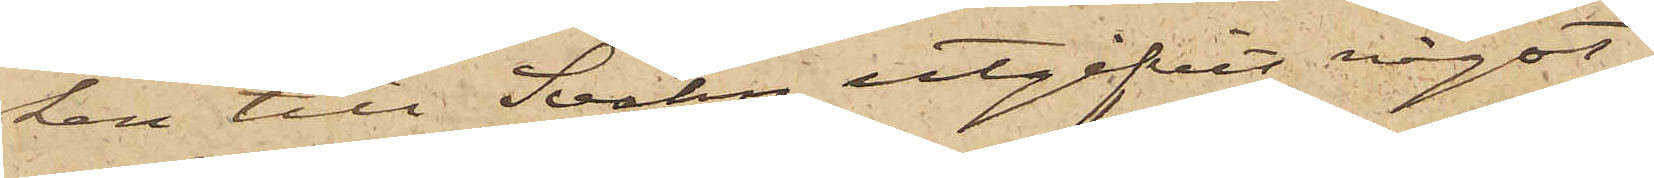ken till Svahn utgifvit något
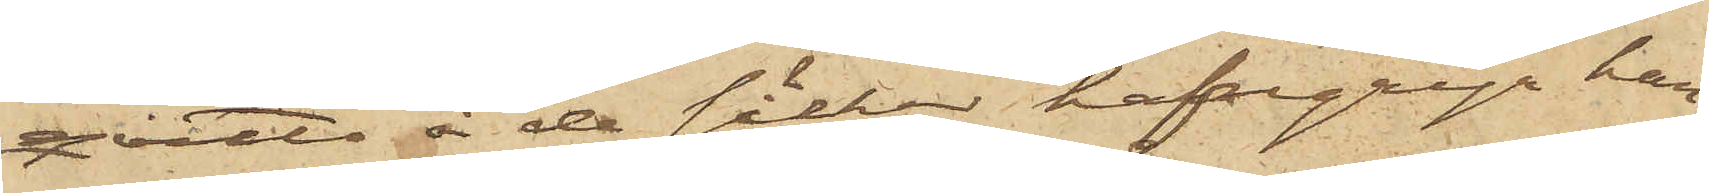qvitto å de säckar hafregryn han
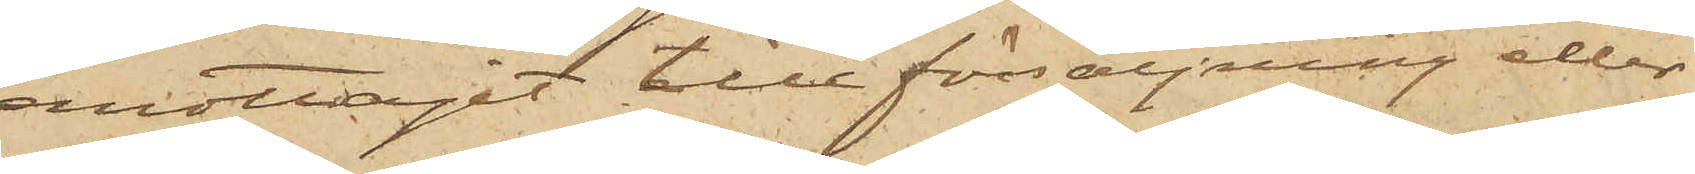emottagit till försäljning eller
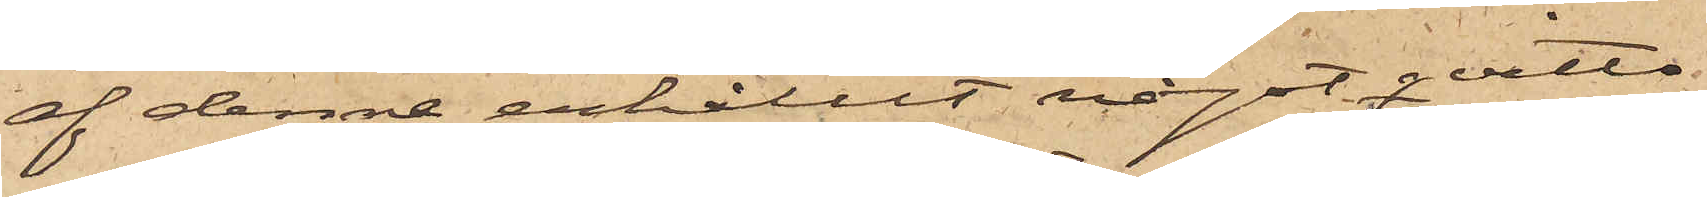af denne erhållit något qvitto
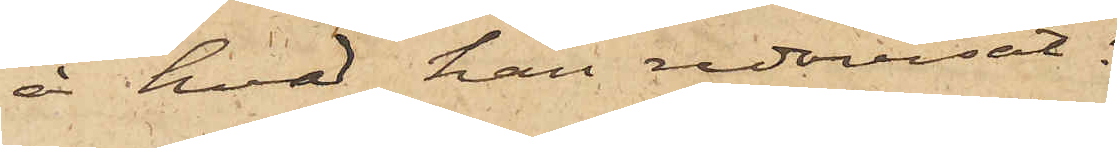å hvad han redovisat.
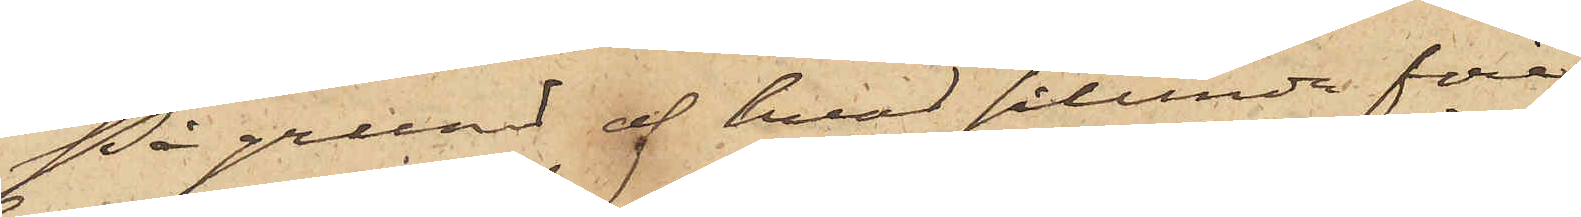På grund af hvad sålunda före¬
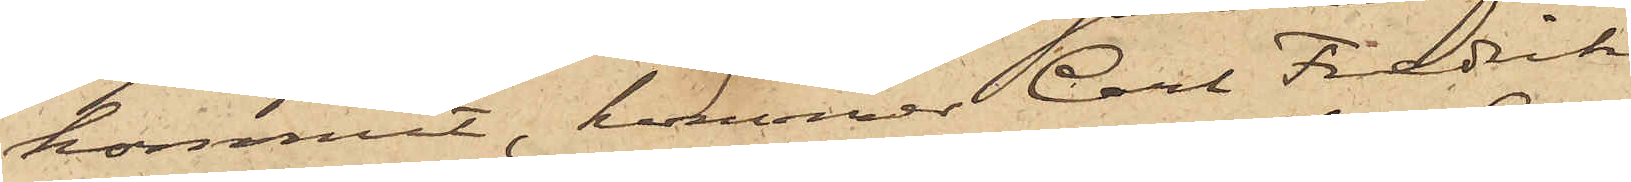kommit, kommer Carl Fredrik
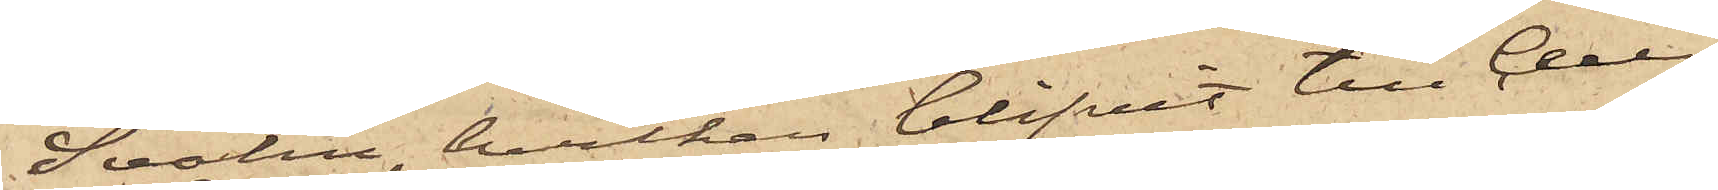Svahn, hvilken blifvit till Cell¬
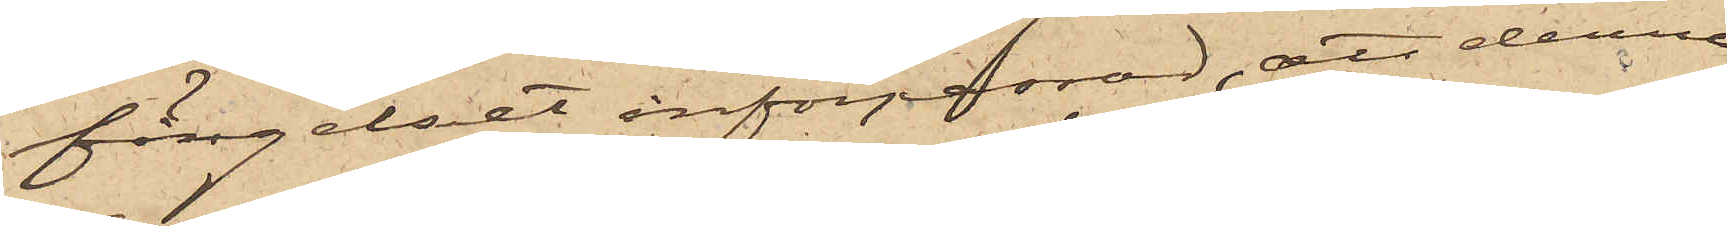fängelset införpassad, att denna
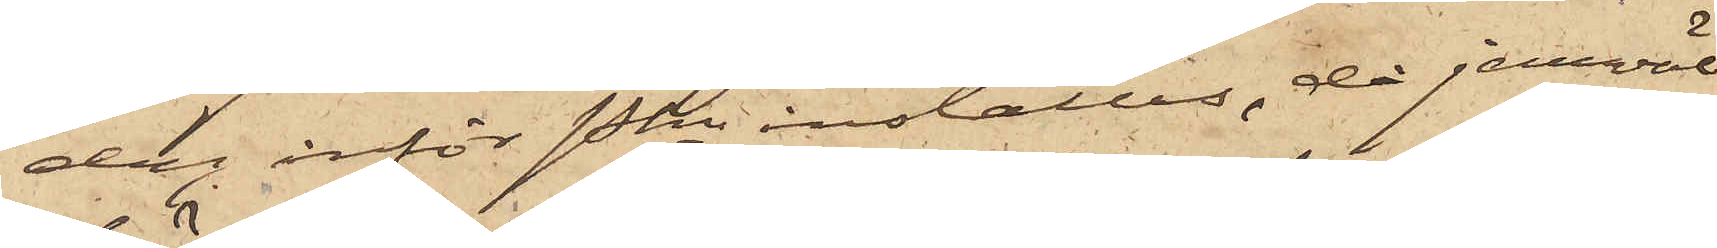dag inför Pkn inställas, då jemväl
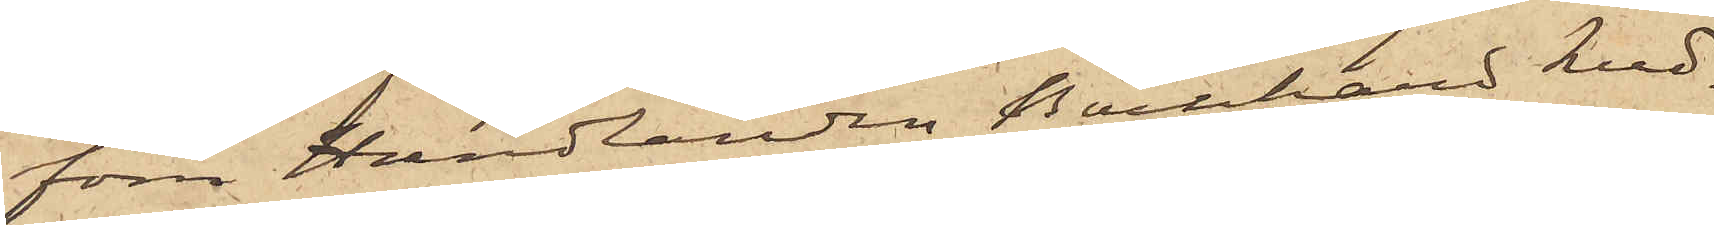förre Handlanden Bernhard Lud¬
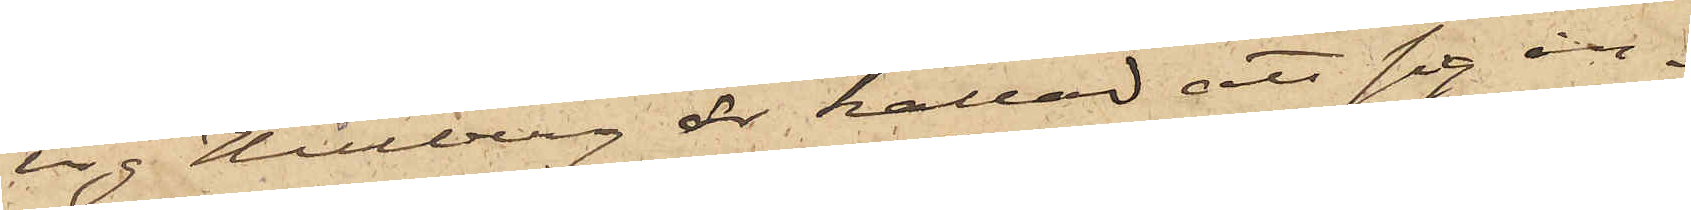vig Hillberg är kallad att sig in¬
